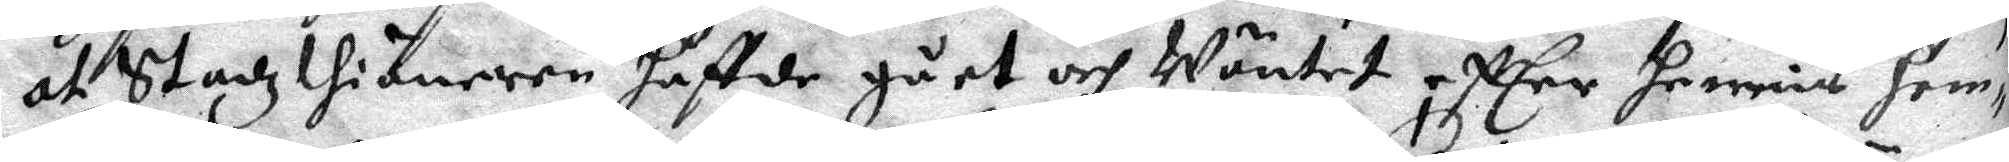at Stadzthiänaren haffde gået och Wäntet effter hennis hem¬
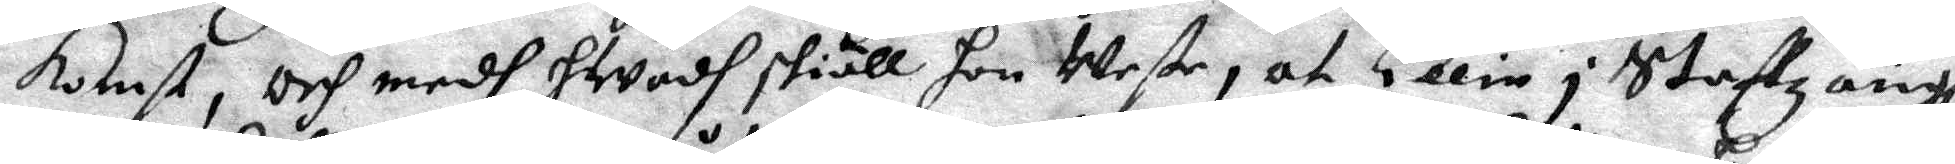komst, och medh hWadh skiäll hon Wete, at Ellin i Staffzängh
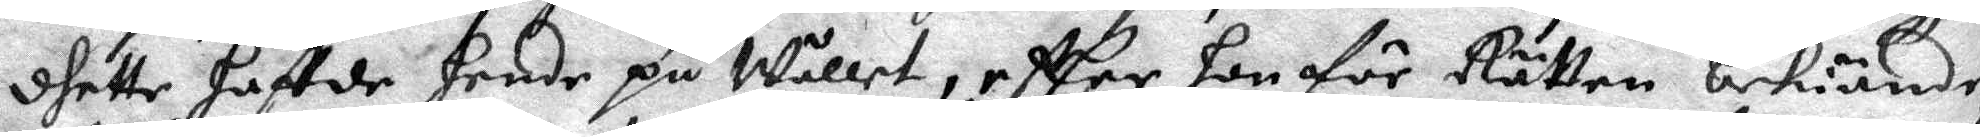dhette haffde hende på Wållet, effter hon för Rätten bekiände,
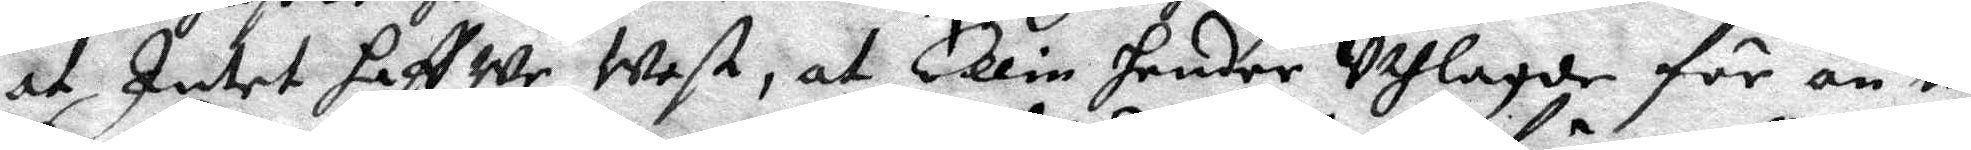at Intet haffWe Wet, at Ellin hender Uthlagde för än nu
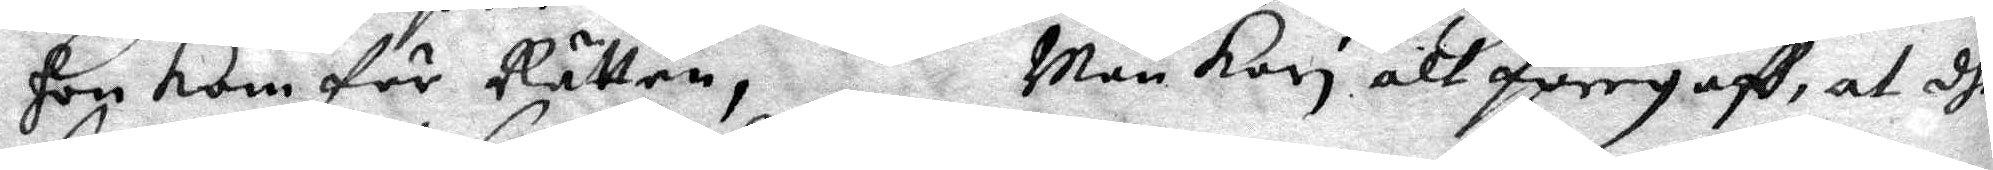hon kom för Rätten, Män Kari alt föregaff, at dhe
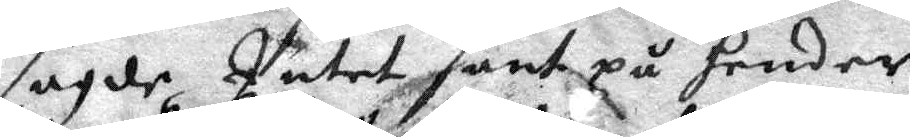sagde Intet sant på hender,
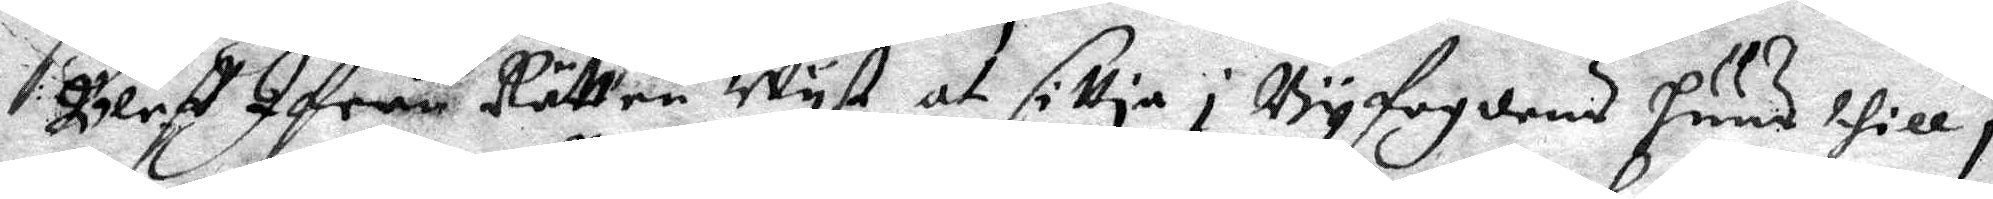Bleff Ifrån Rätten Wyst at sittia i Byfogdens huus thill i
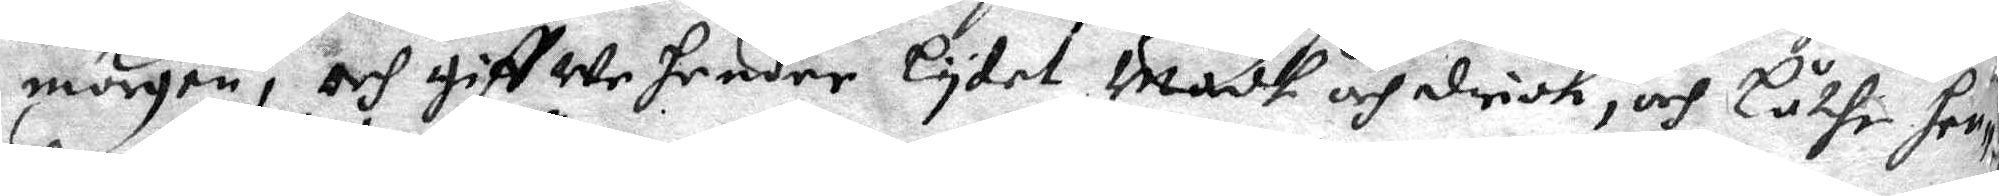morgon, och giffWe hender lydet Madh och drick, och Låthe hen¬
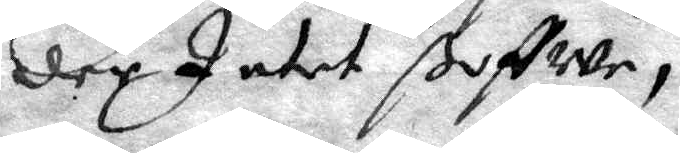der Intet ßoffWe,
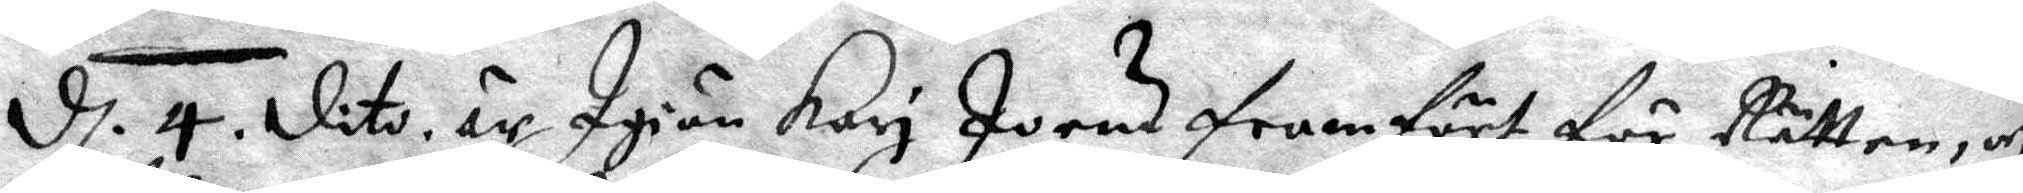d. 4 dito är Igiän Kari Joens framfört för Rätten, och
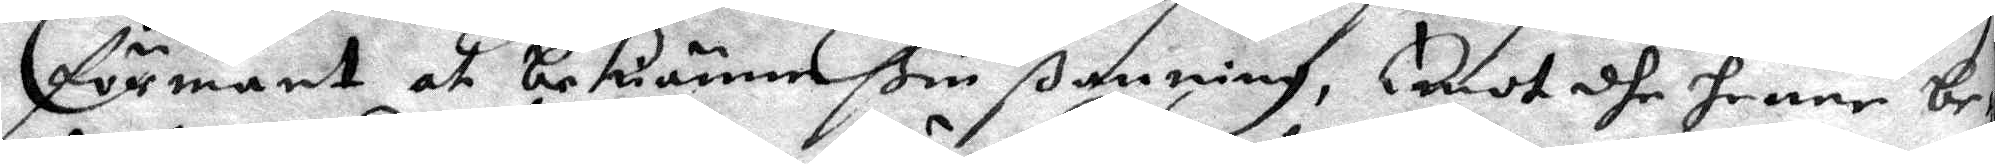förmant at bekiänne ßin ßanning, Emot dhe henne be¬
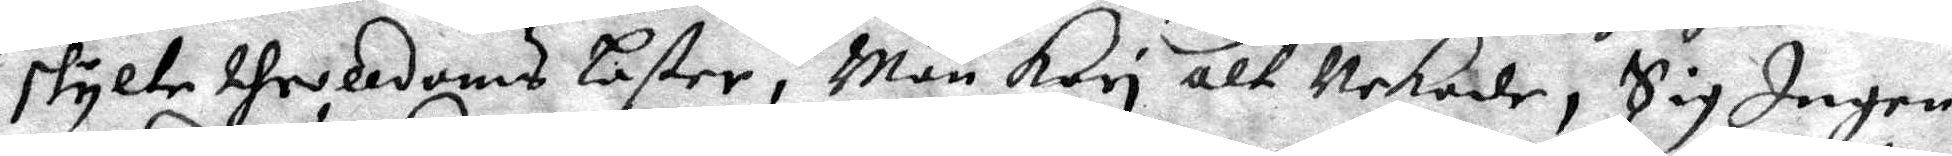skylte throldoms Laster, Män Kari alt Nekade, Sig Ingen
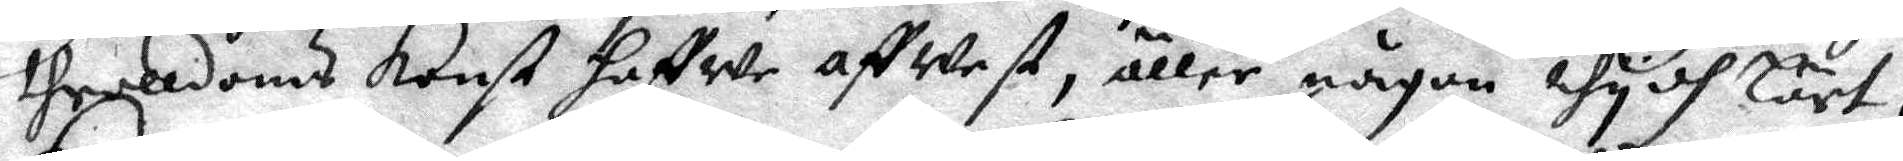trolldoms konst haffWe affWest, äller någon thydh Lärt,
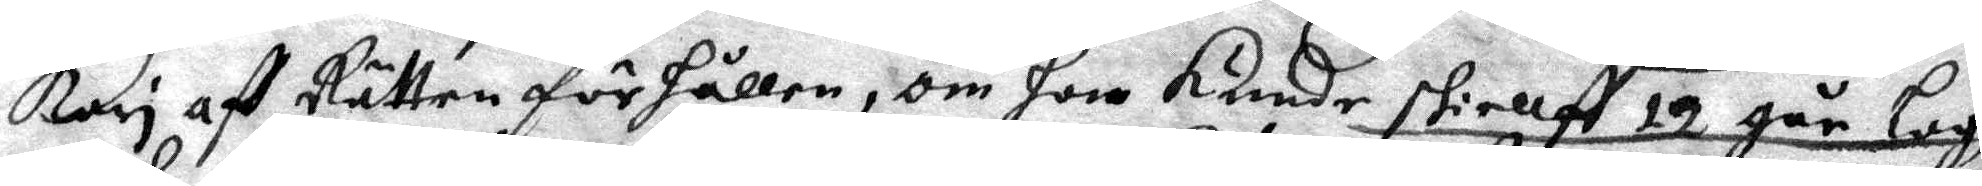Kari aff Rätten förhållen, om hon kunde skiellft 12 går Lagh
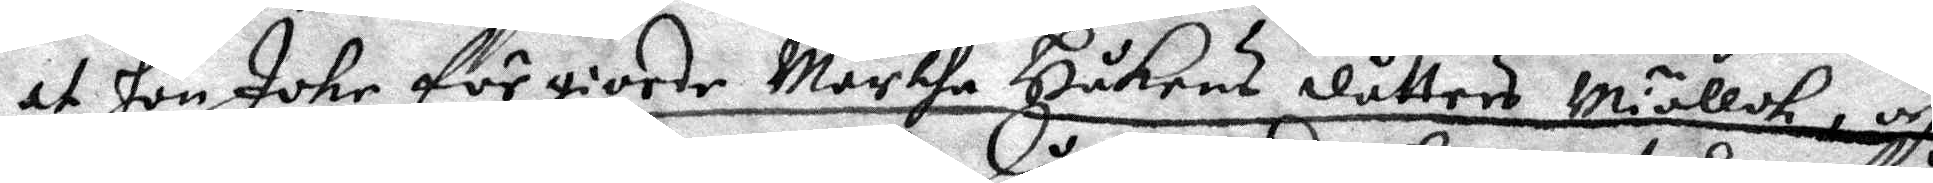at hon Johr förgiorde Martha Håkans dåtters Miöllck, och
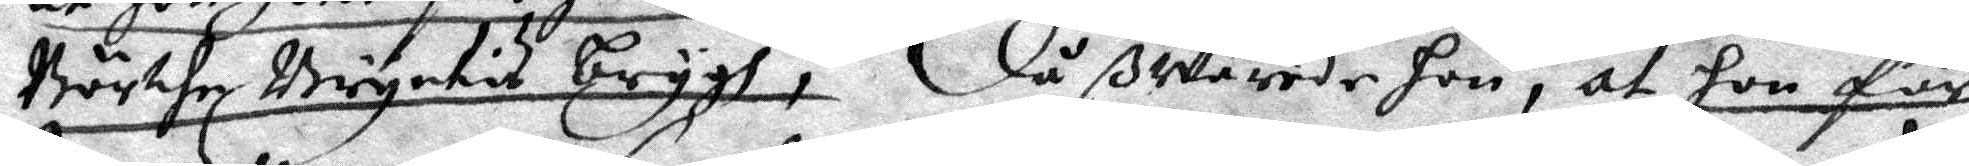Börthe Bryntis brygh, då ßWarede hon, at hon får
